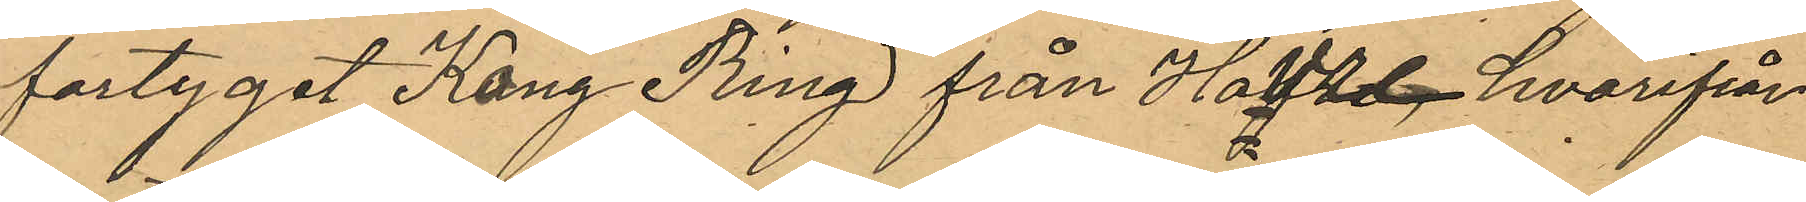fartyget Kong Ring från Havre hvarifrån
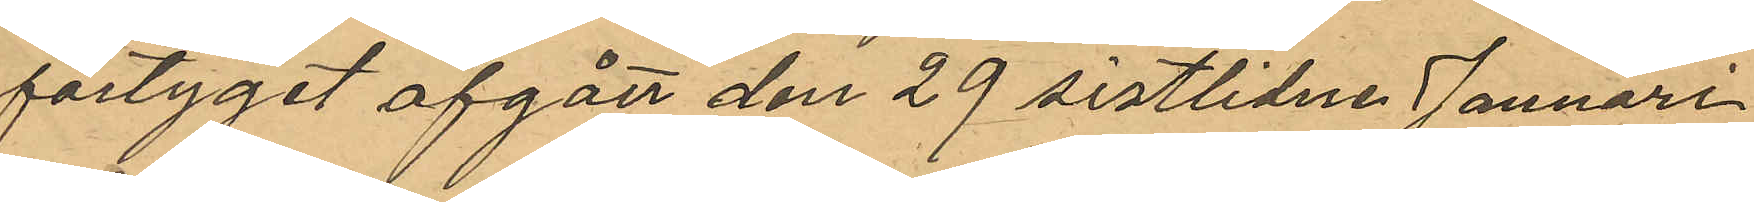fartyget afgått den 29 sistlidne Januari
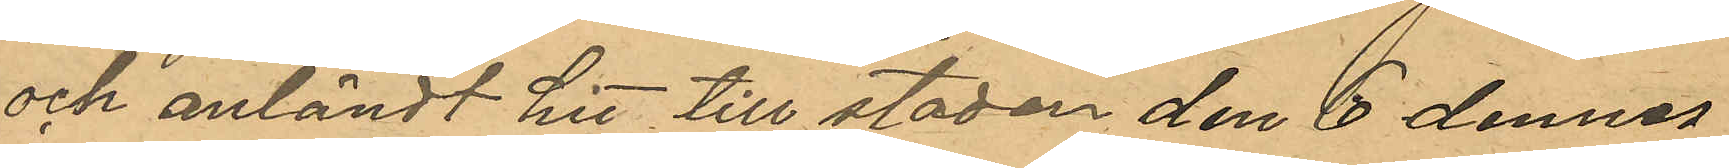och anländt hit till staden den 6 dennes,
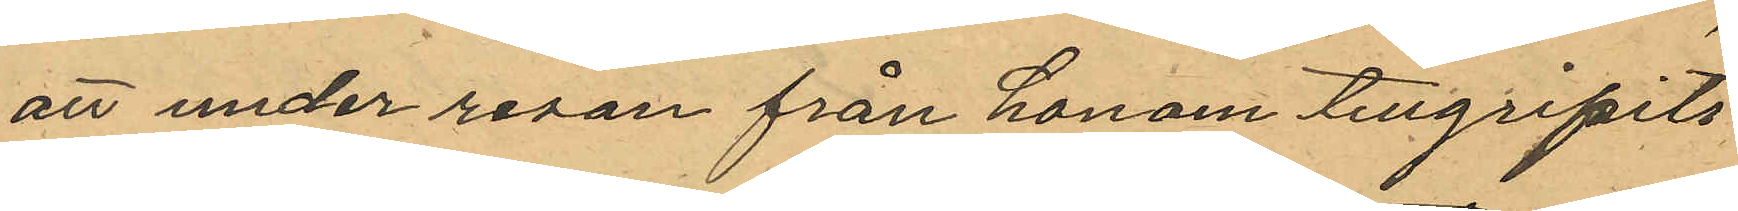att under resan från honom tillgripits
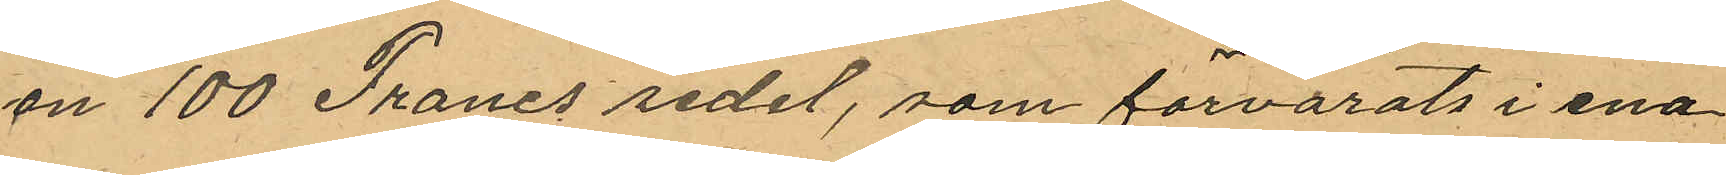en 100 Francs sedel, som förvarats i ena
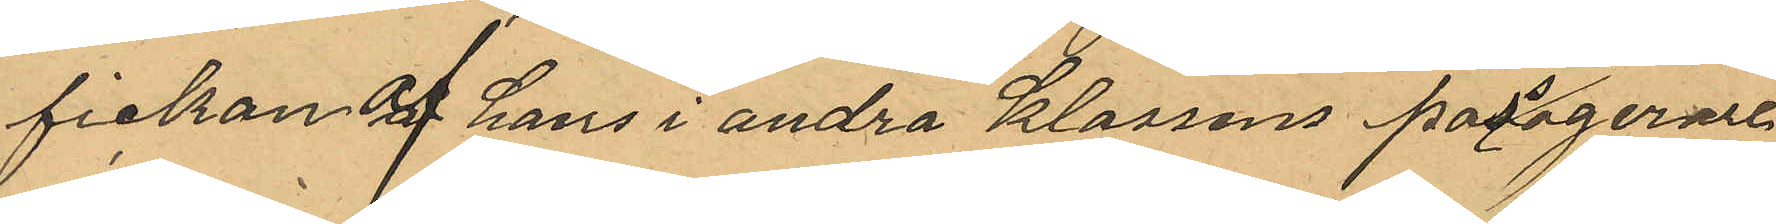fickan af hans andra klassens passagerare¬
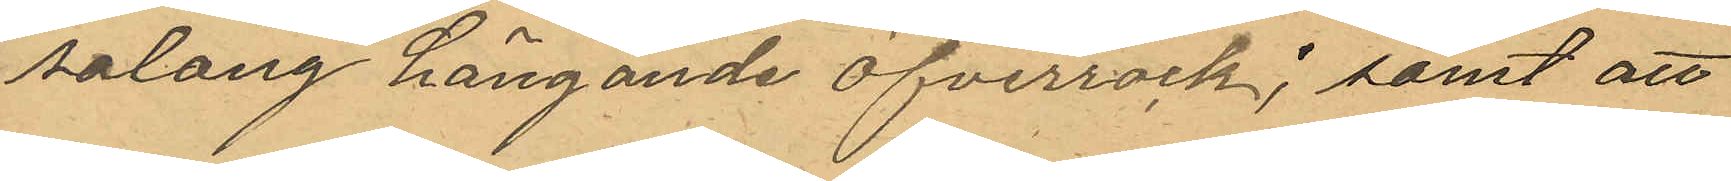salong hängande öfverrock; samt att
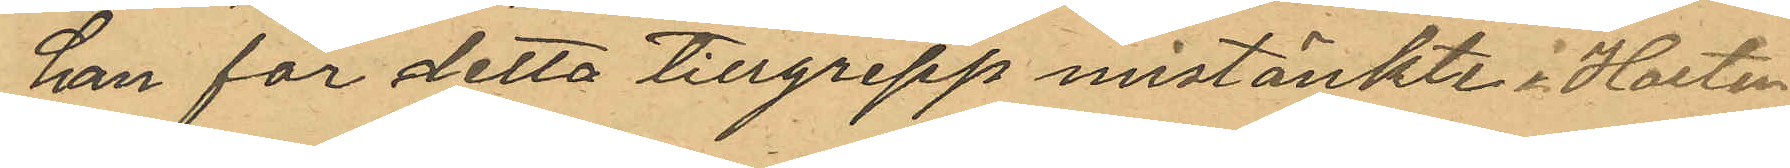han för detta tillgrepp mistänkte i Horten
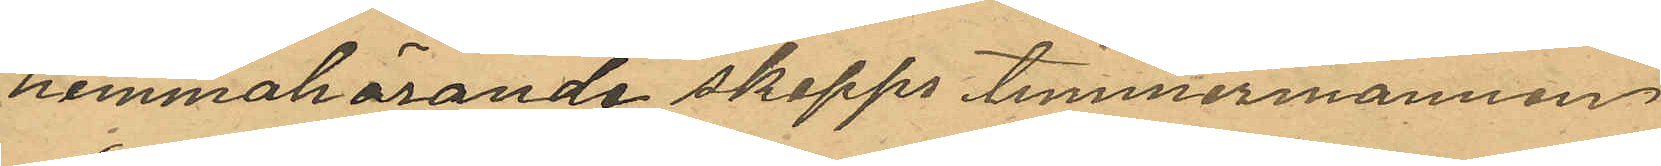hemmahörande skepps timmermannen
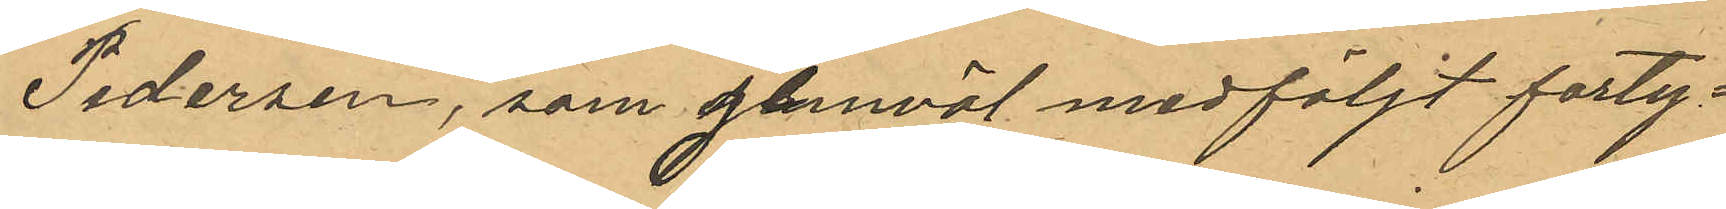Pedersen, som jemväl medföljt farty¬
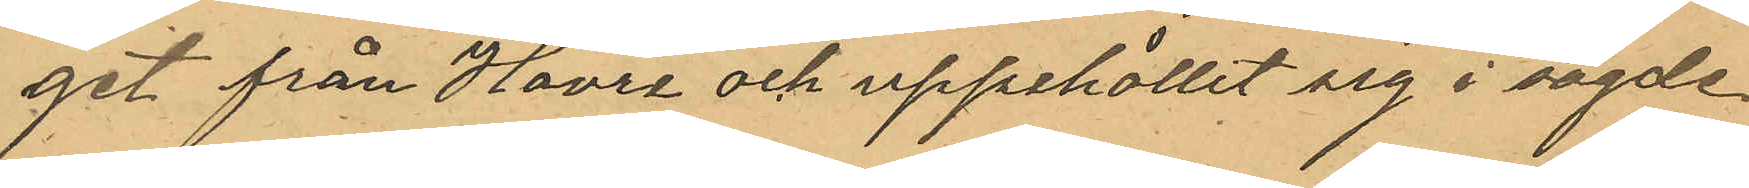 get från Havre och uppehållit sig i sagde
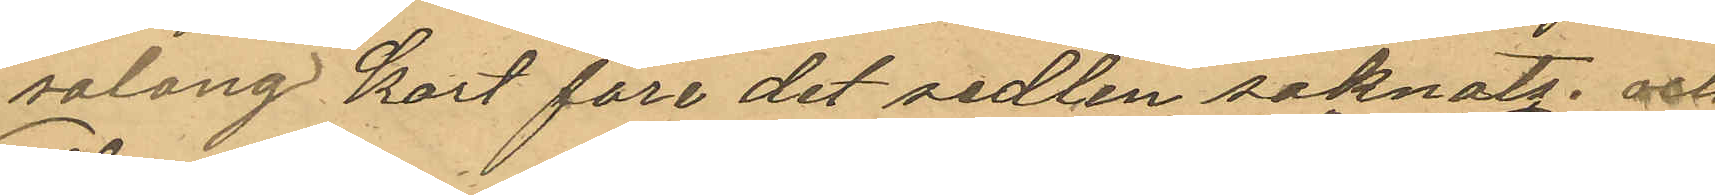salong kort före det sedeln saknats, och
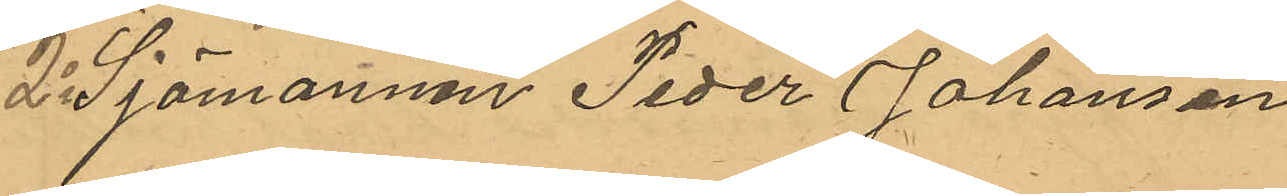2o Sjömannen Peder Johansen
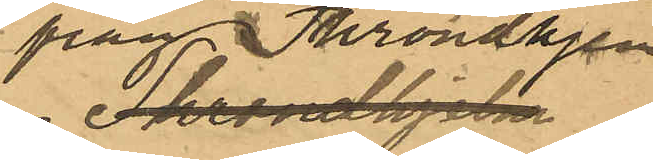från Trondhjem
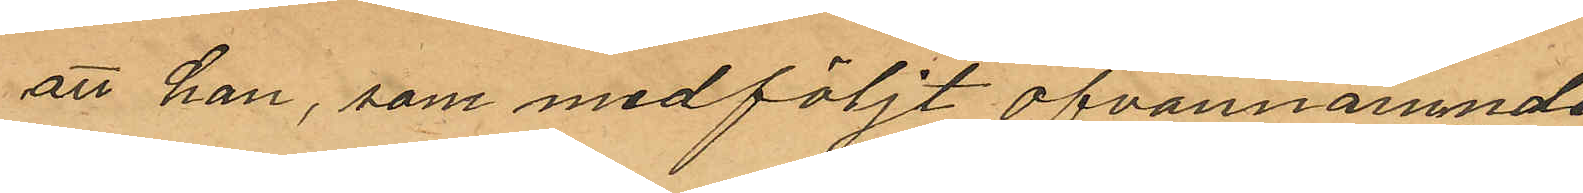att han, som medföljt ofvannämnde
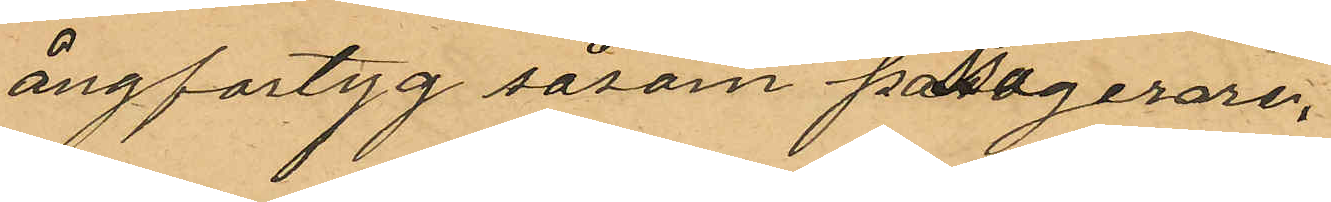ångfartyg såsom passagerare
